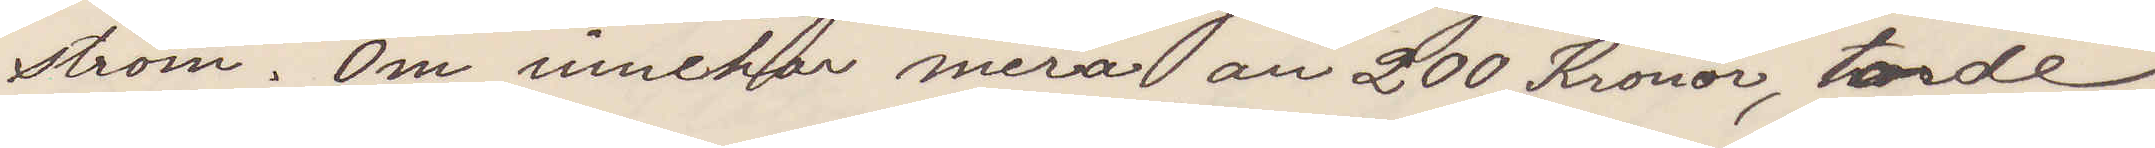ström. Om innehar mera an 200 Kronor, torde
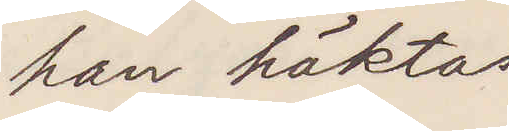han häktas.
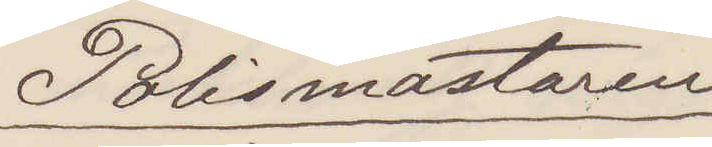Polismästaren
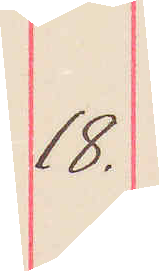18.
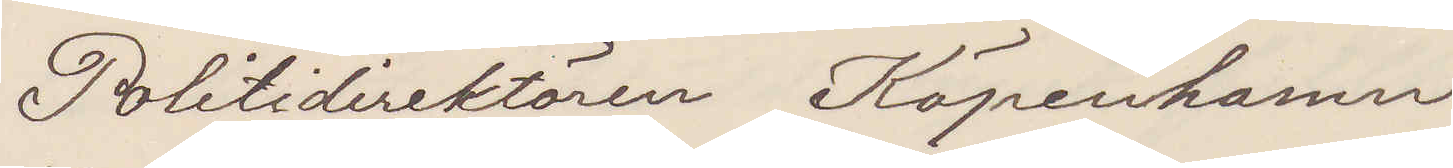Politidirektören Köpenhamn
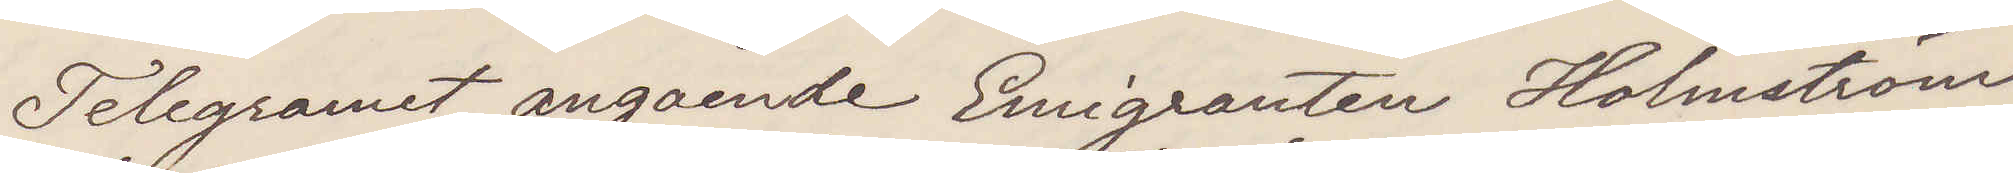Telegramet angående Emigranten Holmström
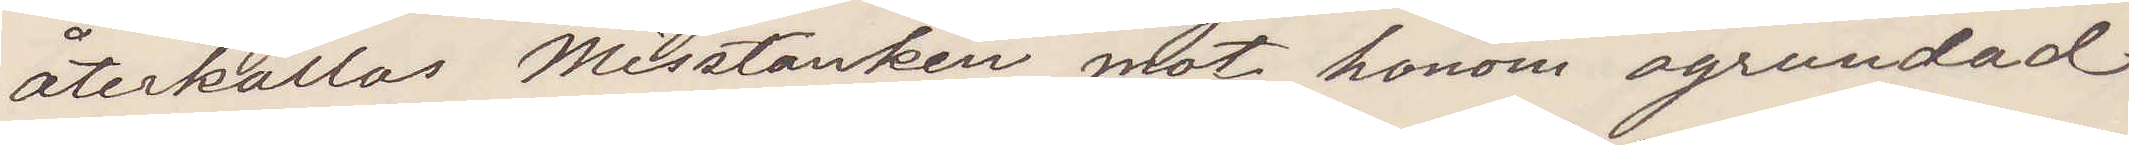återkallas Misstanken mot honom ogrundad
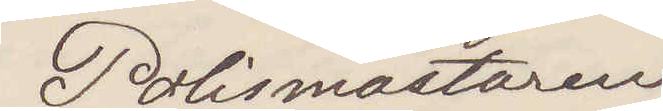Polismästaren
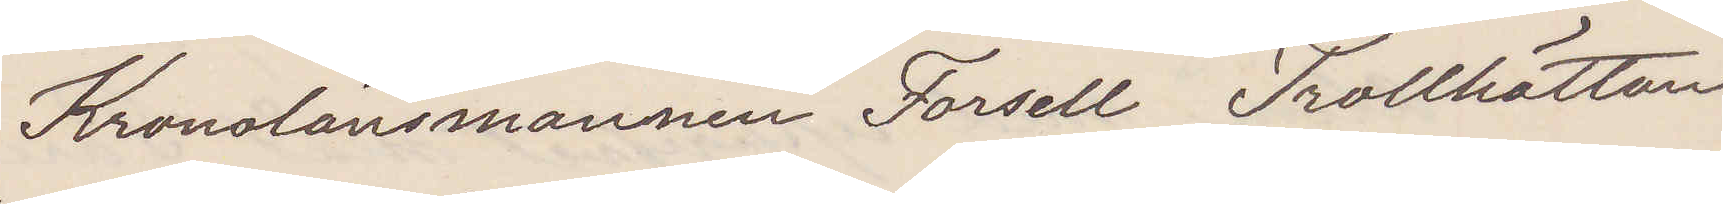Kronolänsmannen Forsell Trollhättan
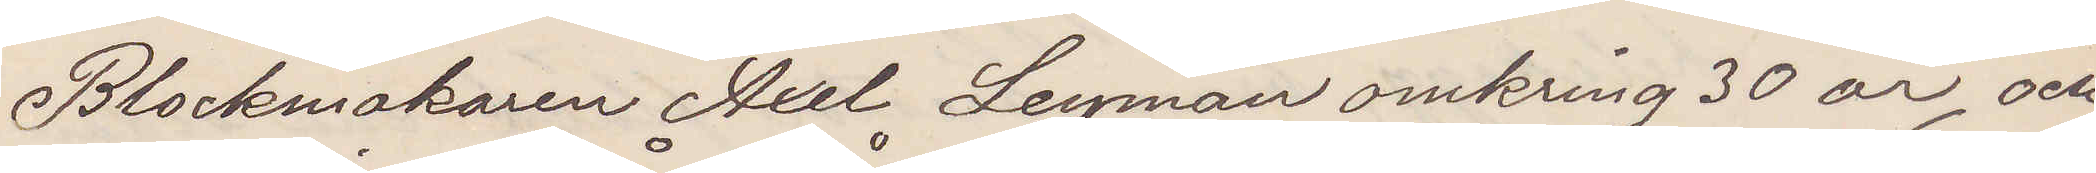Blockmakaren Axel Leyman omkring 30 år, och
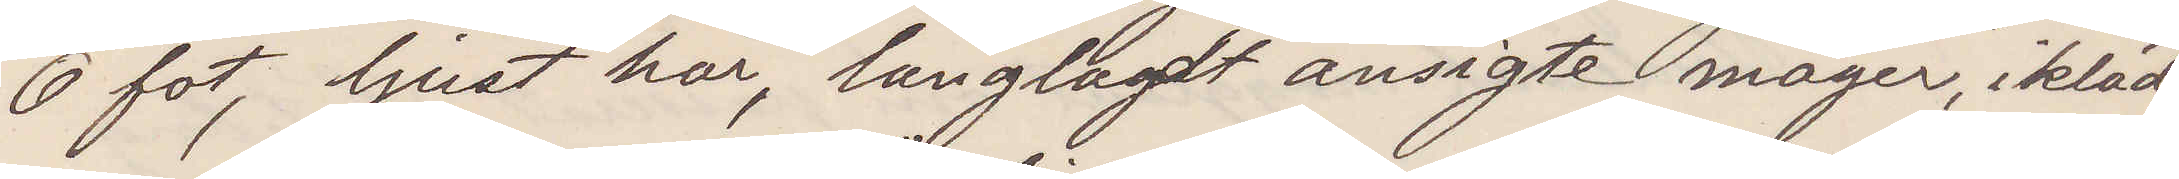6 fot, ljust hår, långlagdt ansigte, mager, iklädd
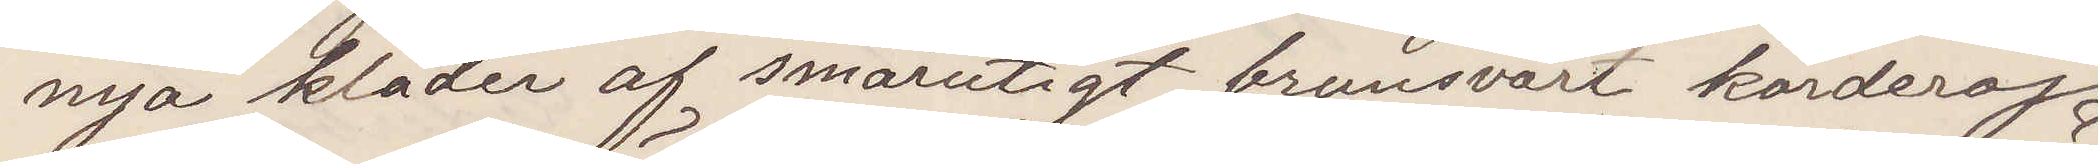nya kläder af smårutigt brunsvart korderoj
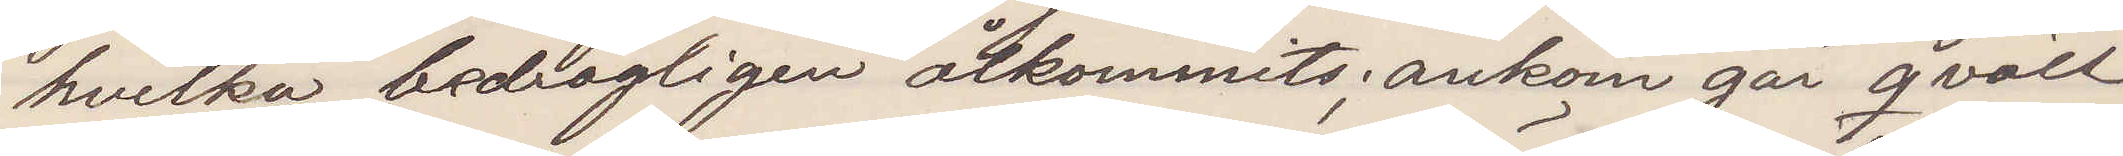hvilka bedrägligen åtkommits, ankom går qväll
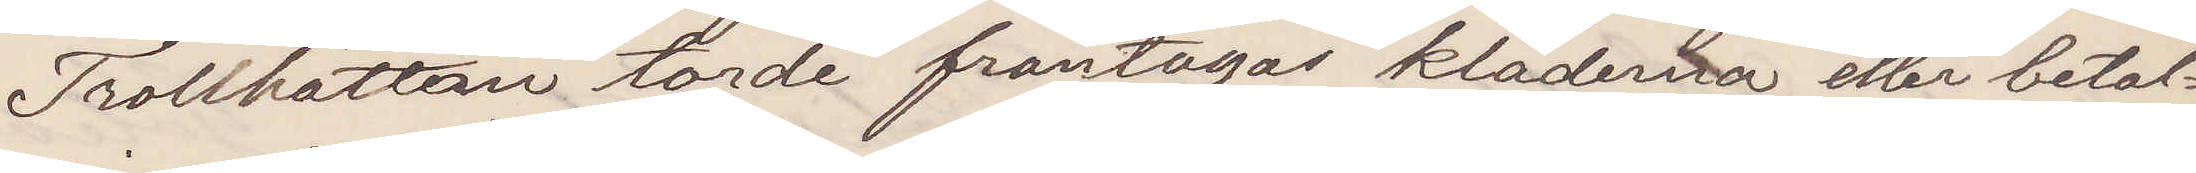Trollhättan torde fråntagas kläderna eller betal¬
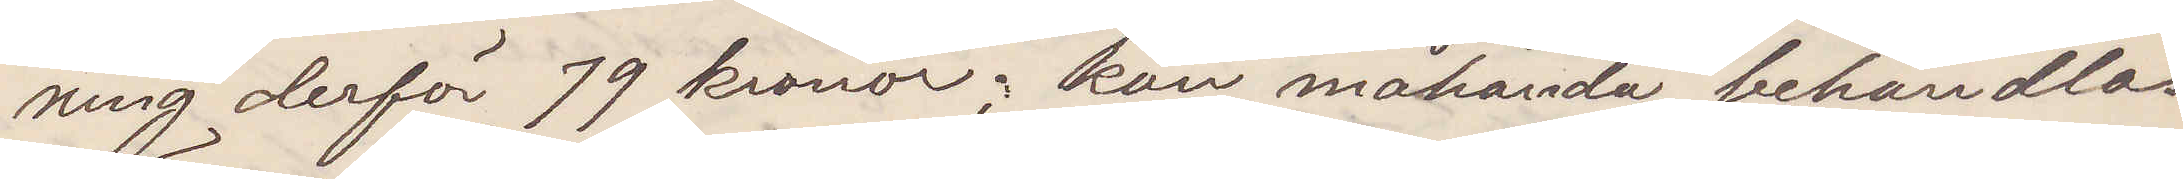ning derför 79 kronor; kan måhända behandlas
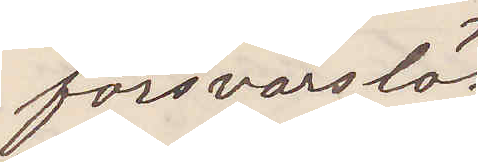försvarslös
